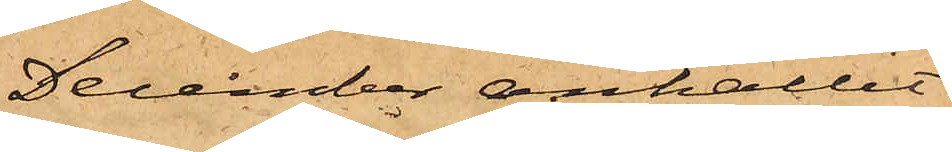December anhållit
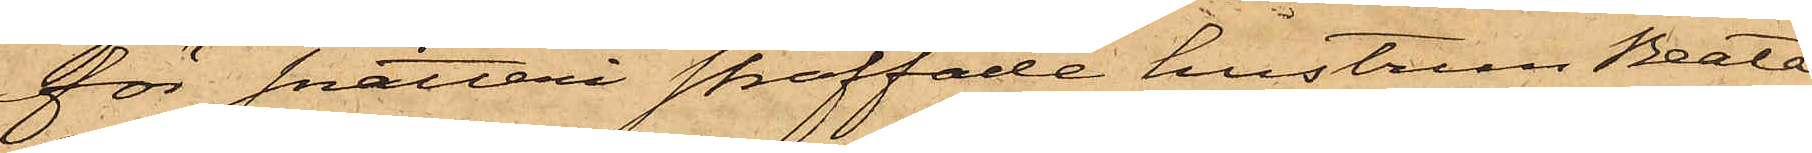för snatteri straffade hustrun Beata
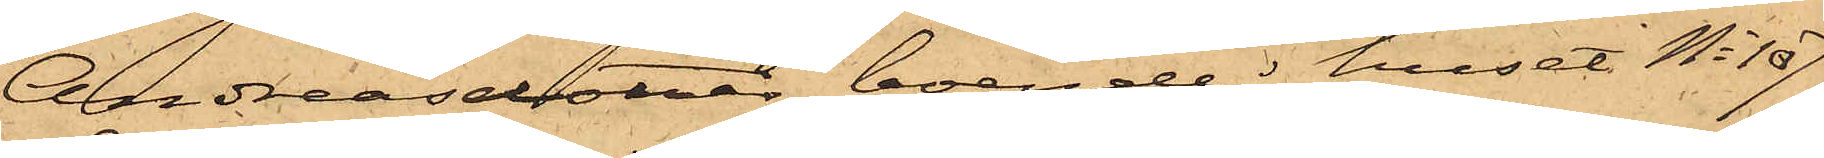Andreasdotter, boende i huset No 107
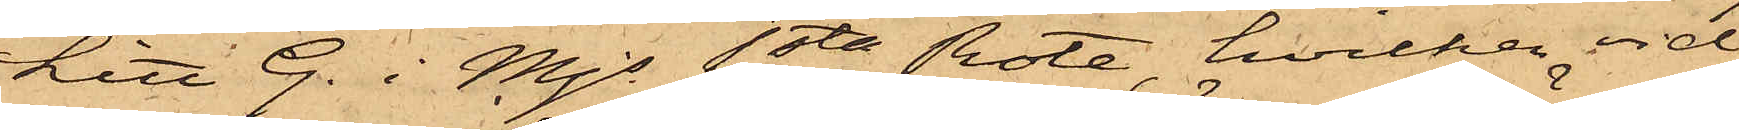Litt G. i Mjs 1sta Rote, hvilken vid
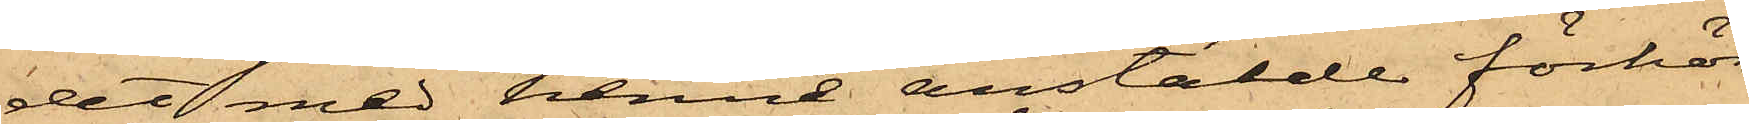det med henne anstälde förhör
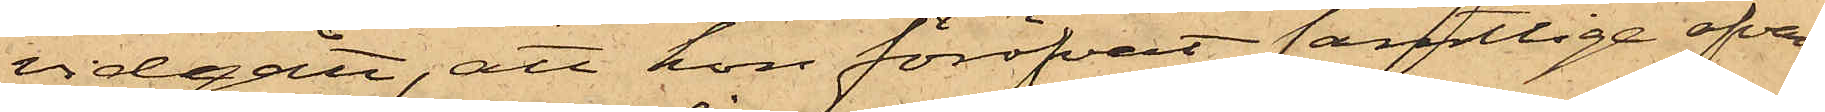vidgått, att hon föröfvat samtlige ofvan¬
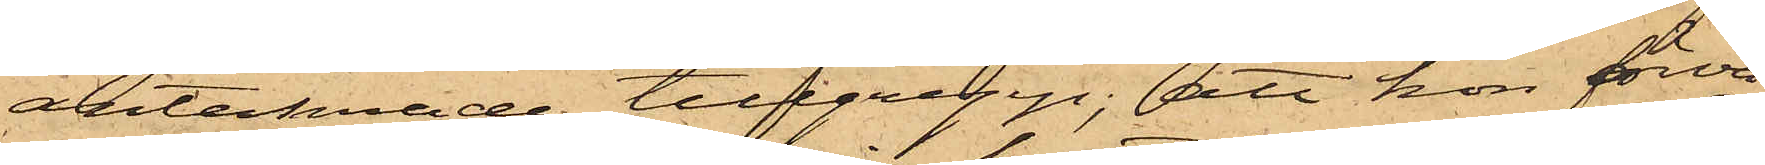antecknade tillgrepp; att hon förva¬
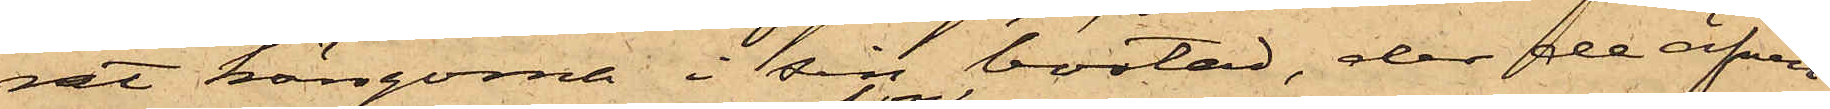rat kängorna i sin bostad, der de äfven
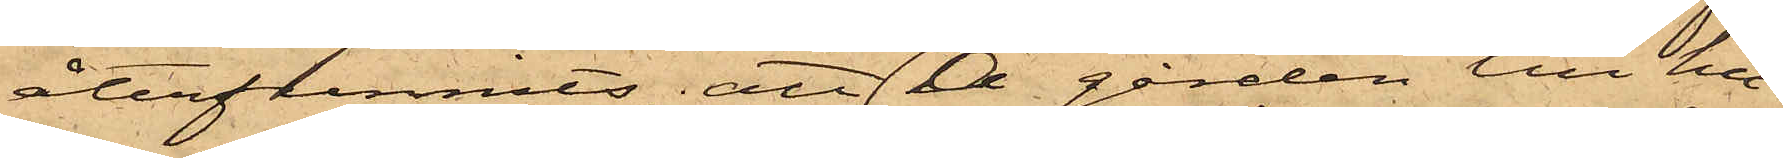återfunnits; att hon å gården till hu¬
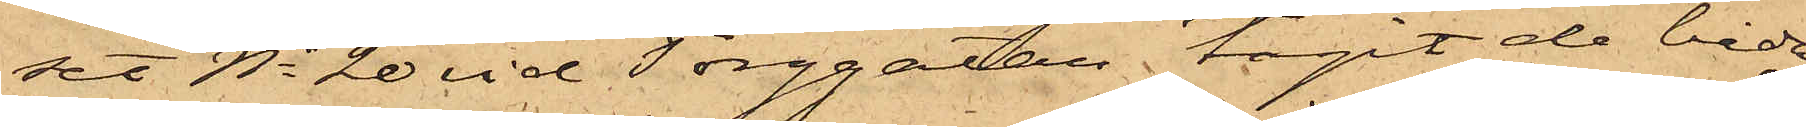set No 20 vid Torggatan tagit de båda
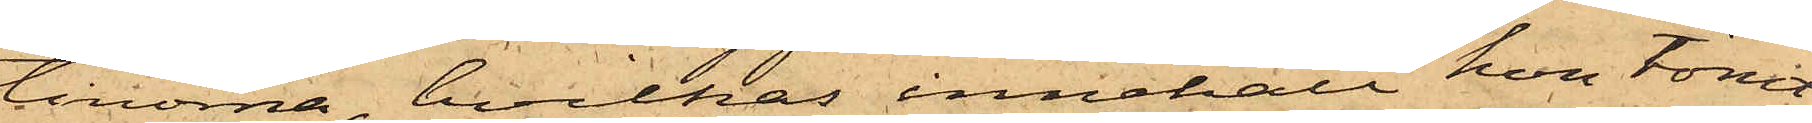tinorna, hvilkas innehåll hon tömt
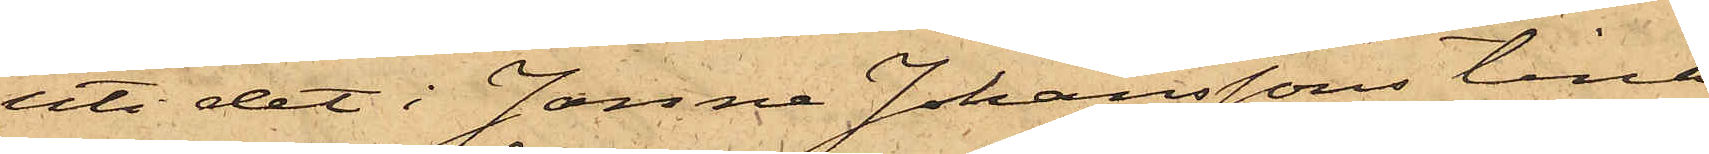uti det i Janne Johanssons tina
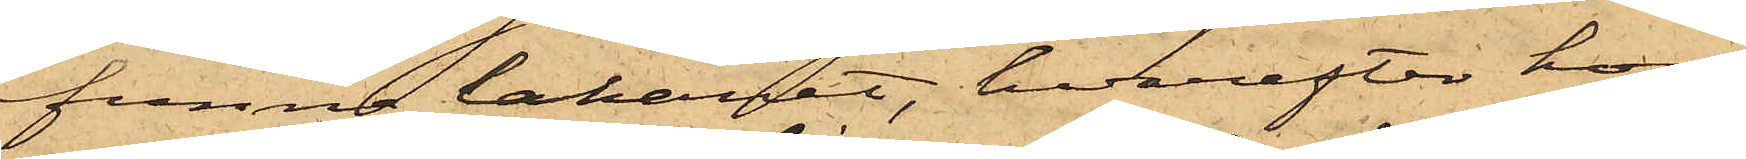funna lakanet, hvarefter hon
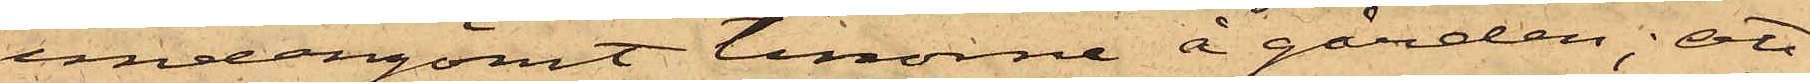undangömt tinorna å gården; att
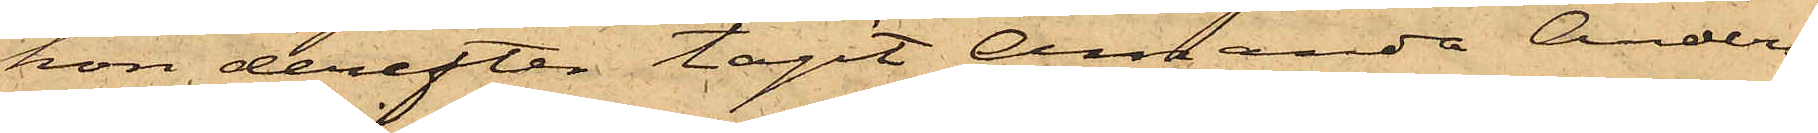hon derefter tagit Amanda Anders¬
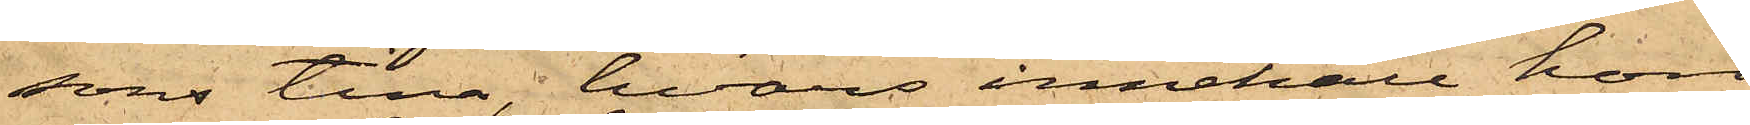sons tina, hvars innehåll hon
